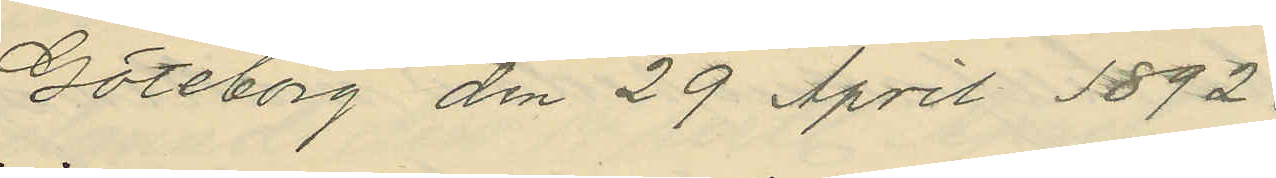Göteborg den 29 April 1892.
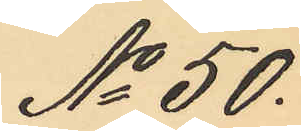No 50.
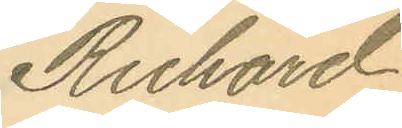Richard
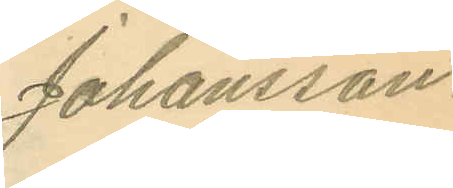Johansson.
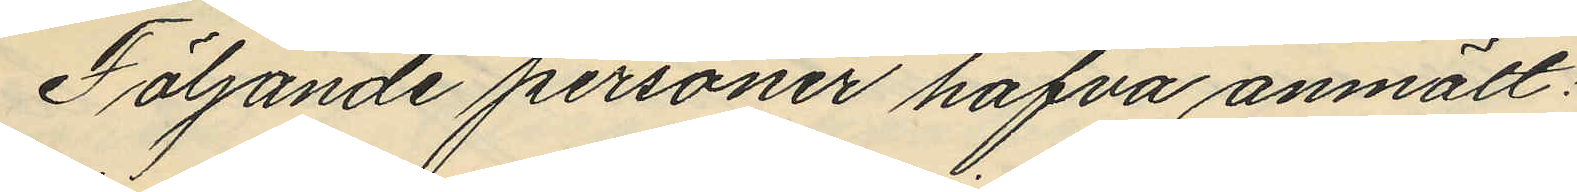Följande personer hafva anmält:
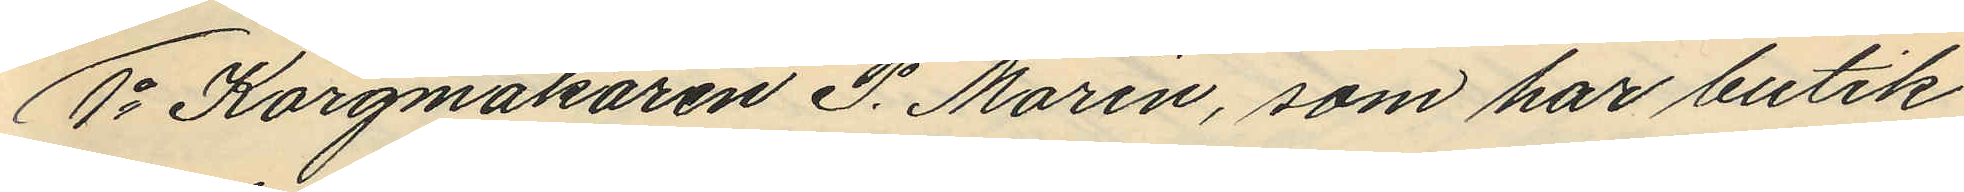1o Korgmakaren P. Morin, som har butik
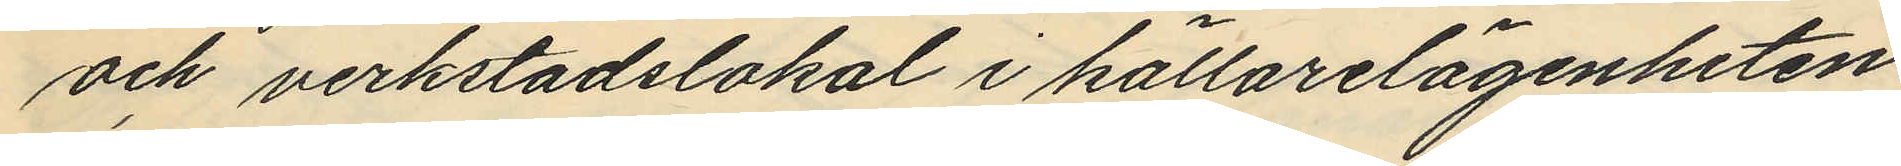och verkstadslokal i källarelägenheten
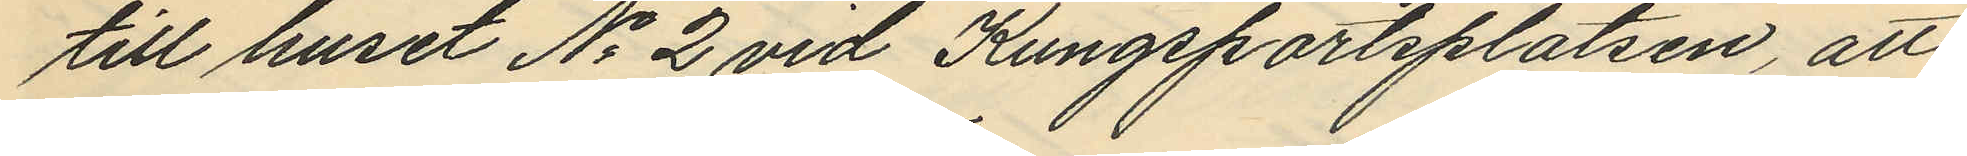till huset No 2 vid Kungsportsplatsen, att
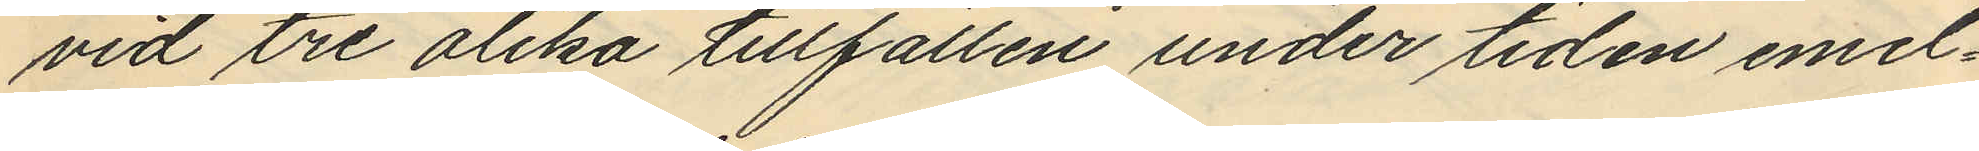vid tre olika tillfällen under tiden emel¬
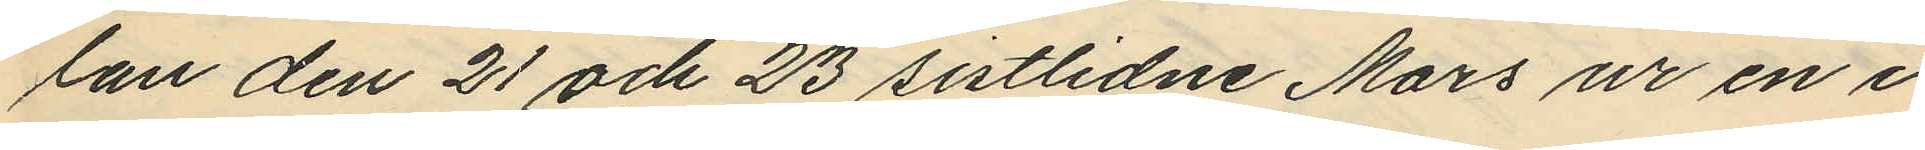lan den 21 och 23 sistlidne Mars ur en i
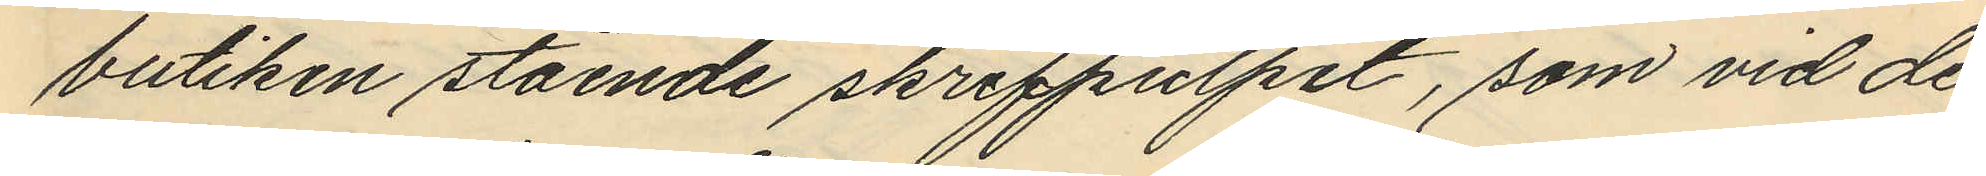butiken stående skrifpulpet, som vid de
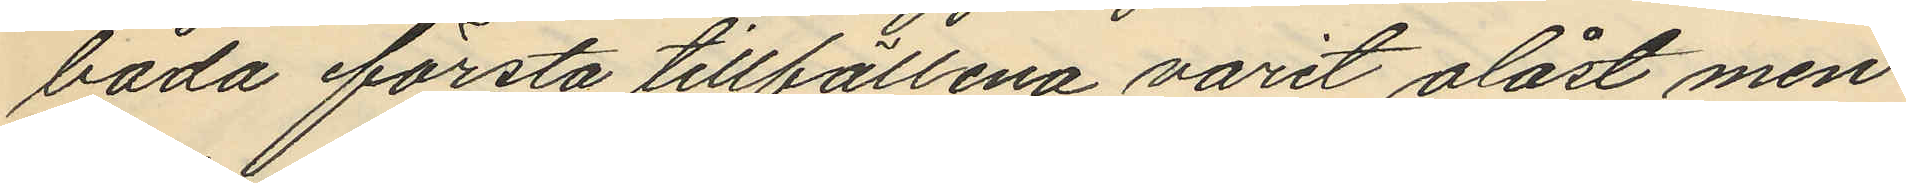båda första tillfällena varit olåst men
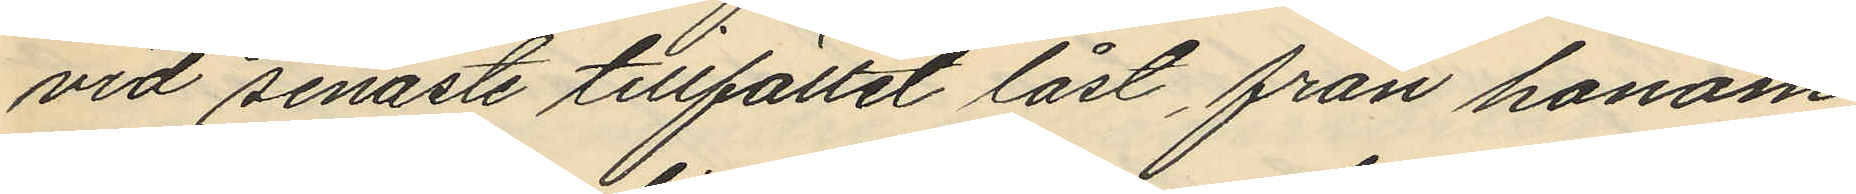vid senaste tillfället låst, från honom
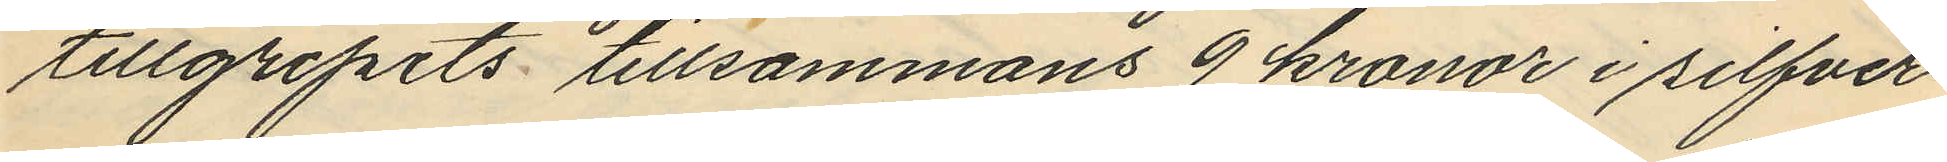tillgripits tillsammans 9 kronor i silfver¬
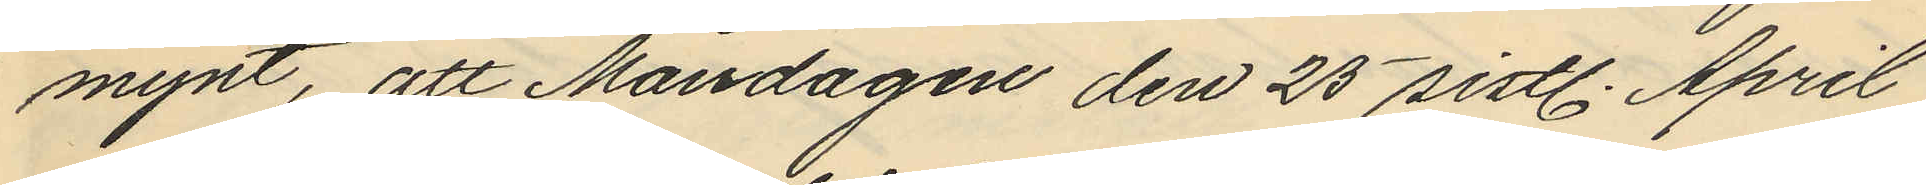mynt, att Måndagen den 25 sistl. April
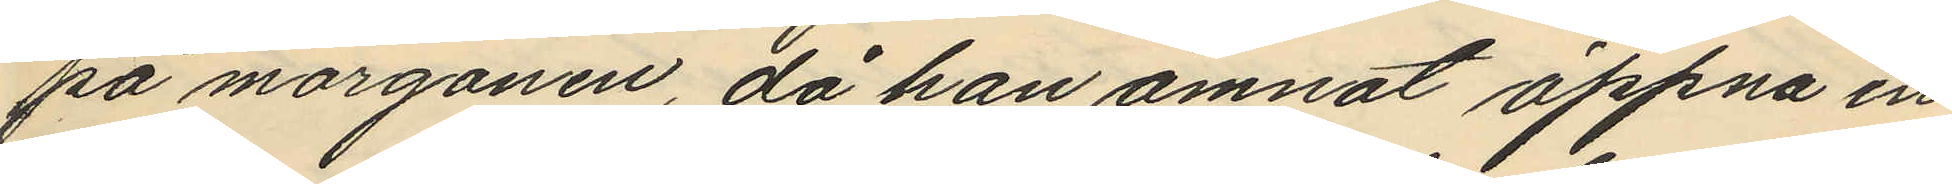på morgonen, då han ämnat öppna en
